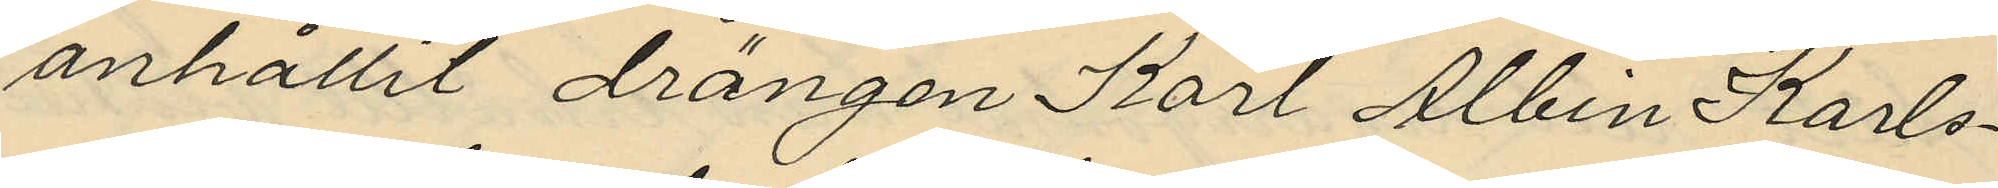anhållit drängen Karl Albin Karls¬
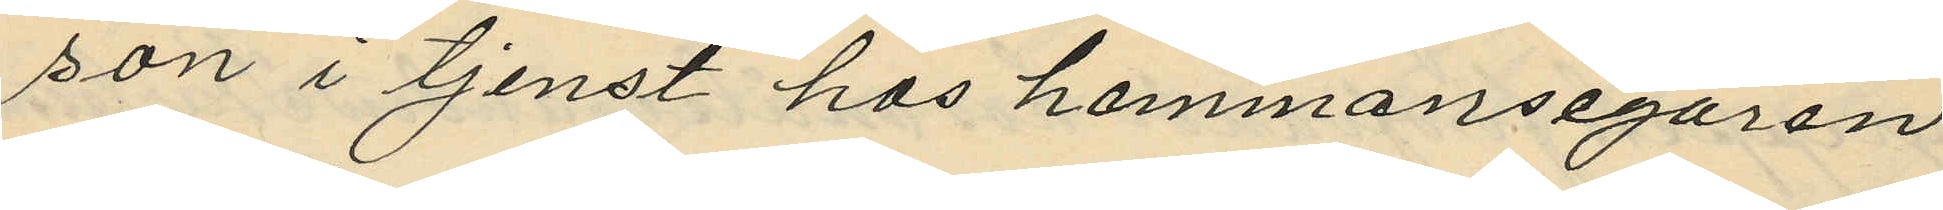son i tjenst hos hemmansegaren
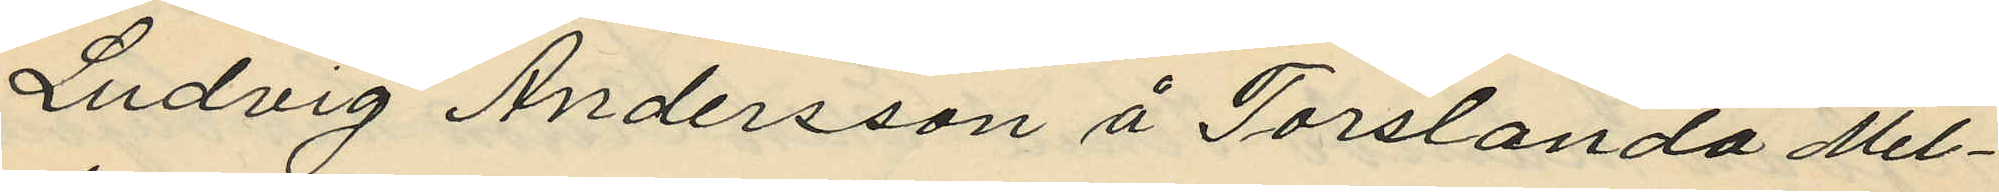Ludvig Andersson å Torslanda Mel¬
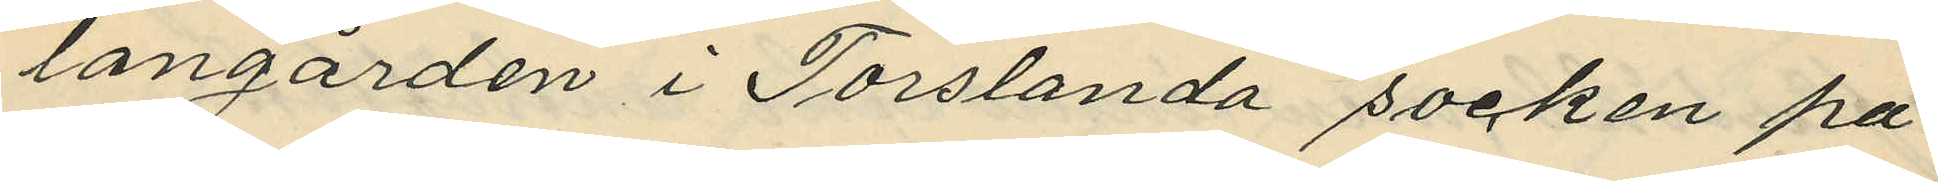langården i Torslanda socken på
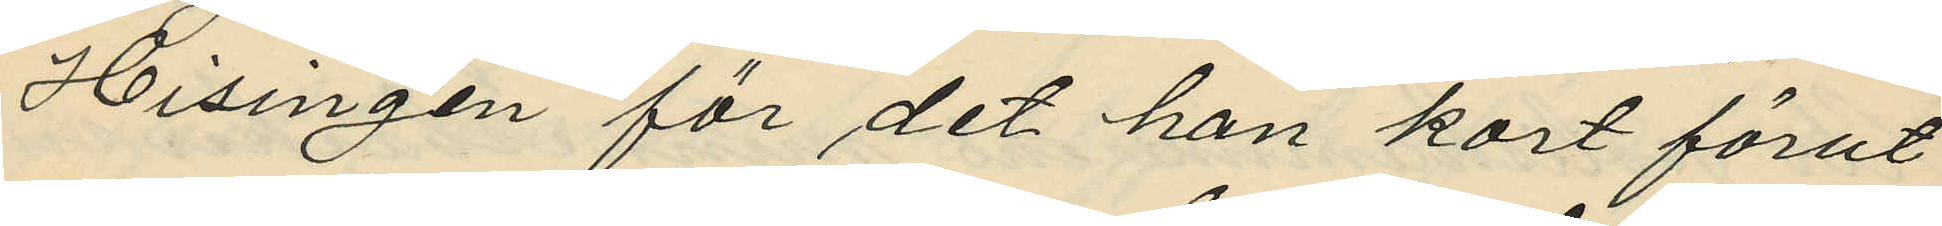Hisingen för det han kort förut
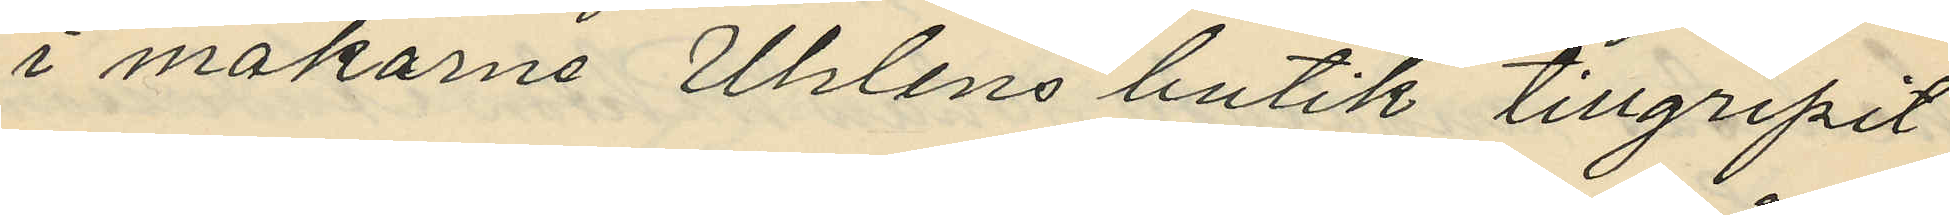i makarne Uhlens butik tillgripit
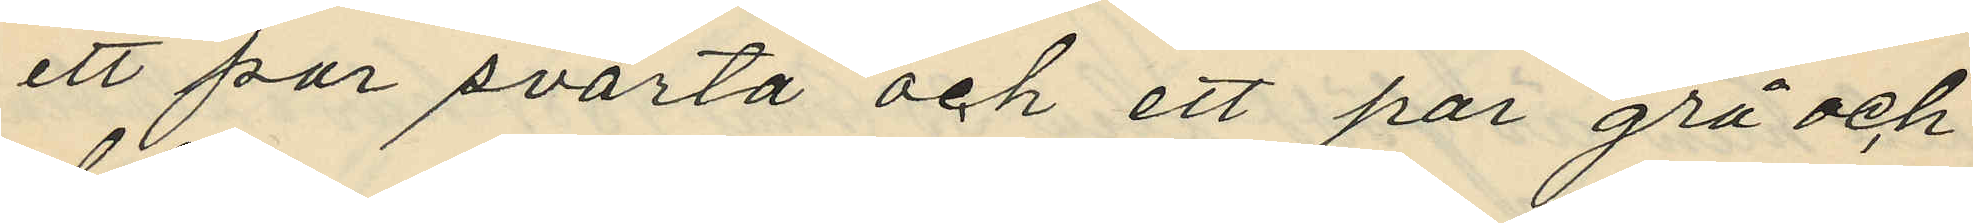ett par svarta och ett par grå och
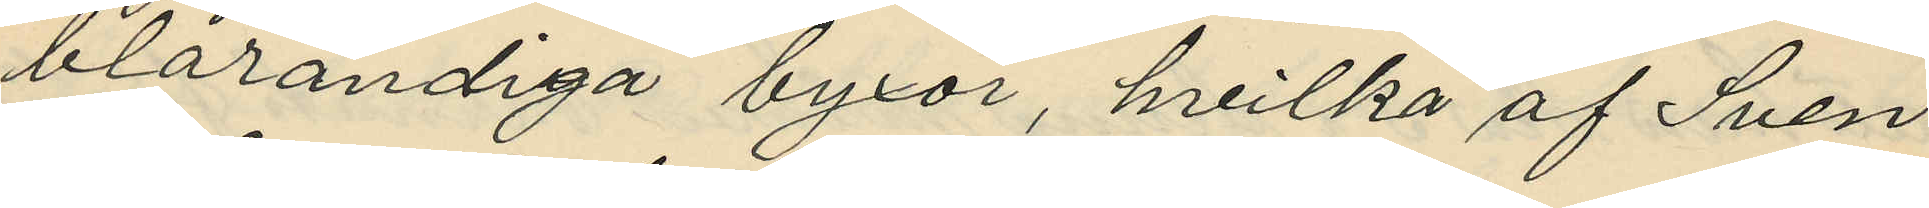blårandiga byxor, hvilka af Sven
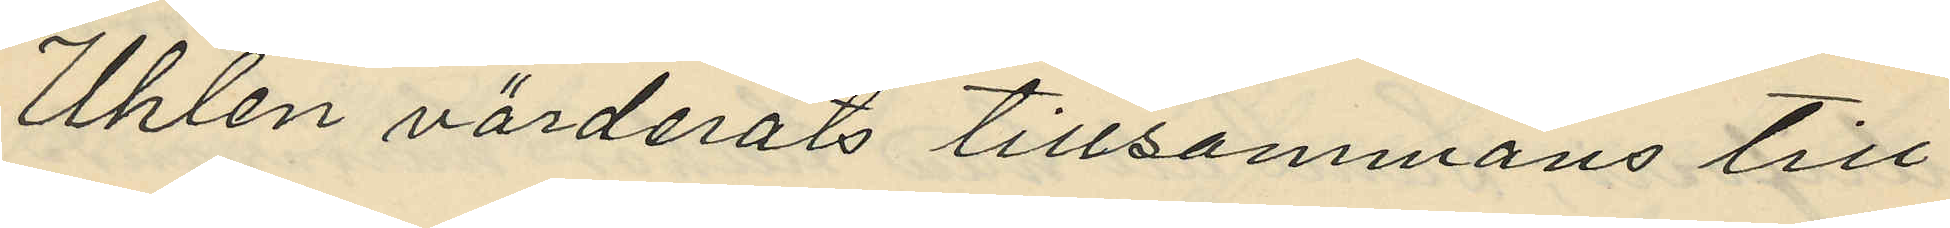Uhlen värderats tillsammans till
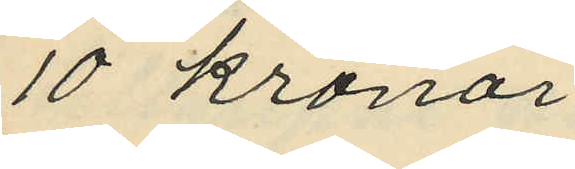10 kronor.
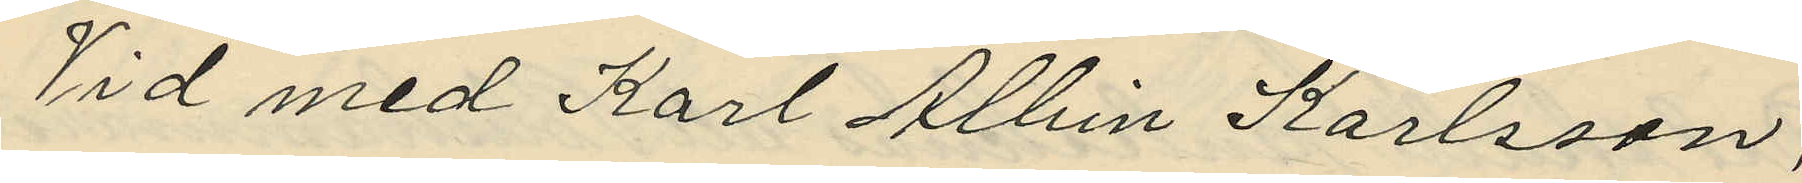Vid med Karl Albin Karlsson,
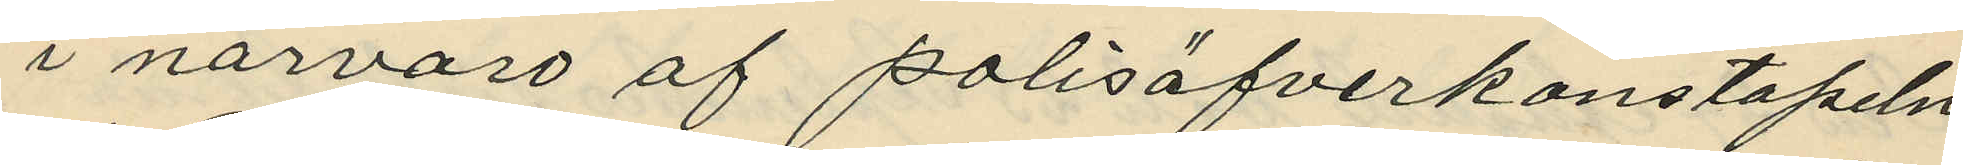i närvaro af polisöfverkonstapeln
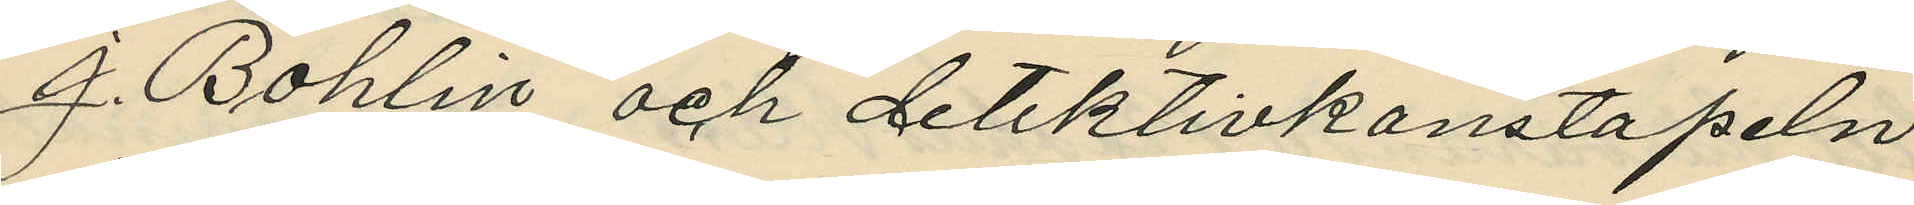J. Bohlin och detektivkonstapeln
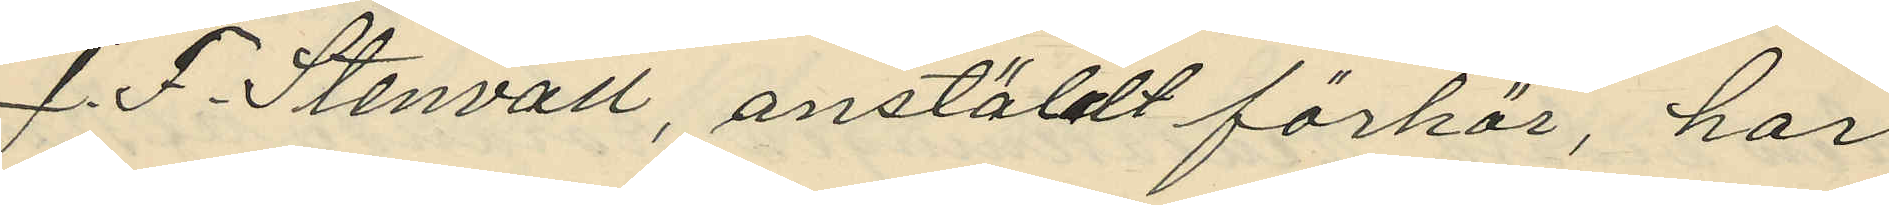J. F. Stenvall, anstäldt förhör, har
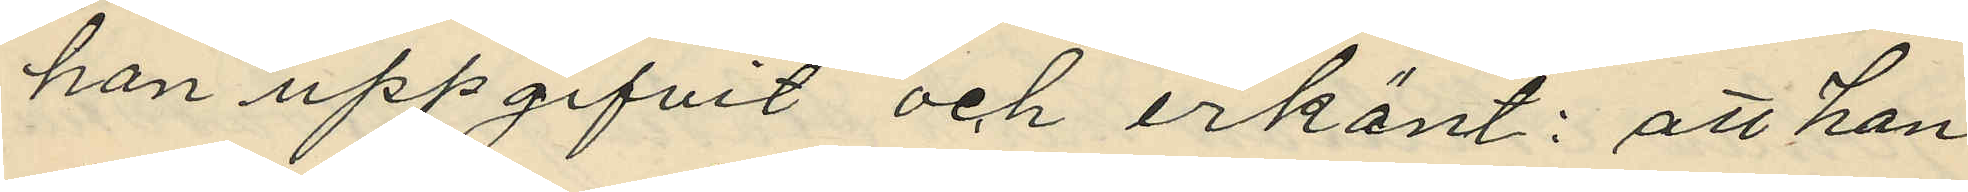han uppgifvit och erkänt: att han
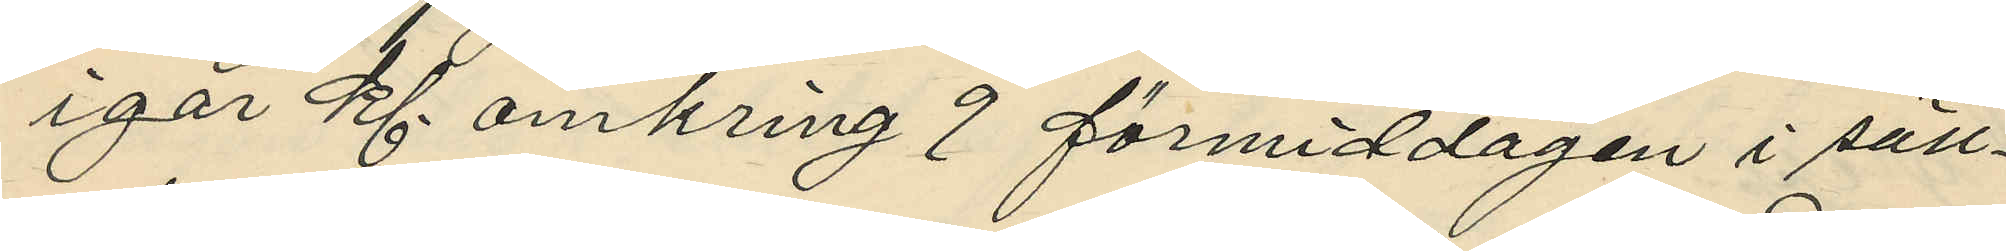igår kl. omkring 9 förmiddagen i säll¬
